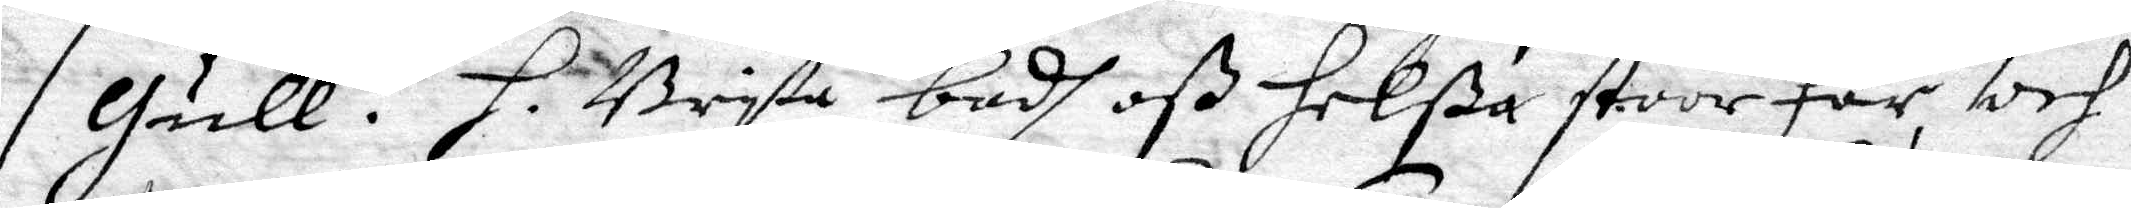Gull. H. Brita badh oß helßa stoor Far och 
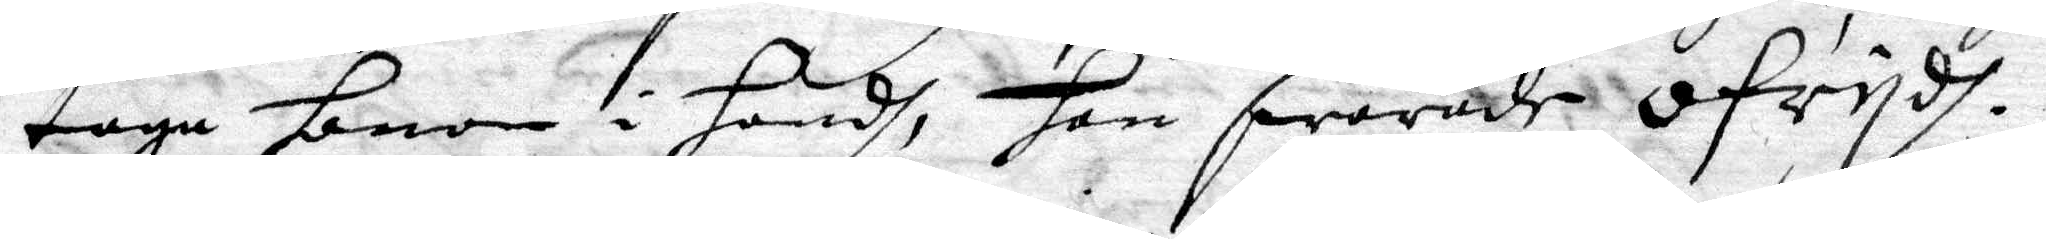taga honom i handh, han swarade ofrydh.
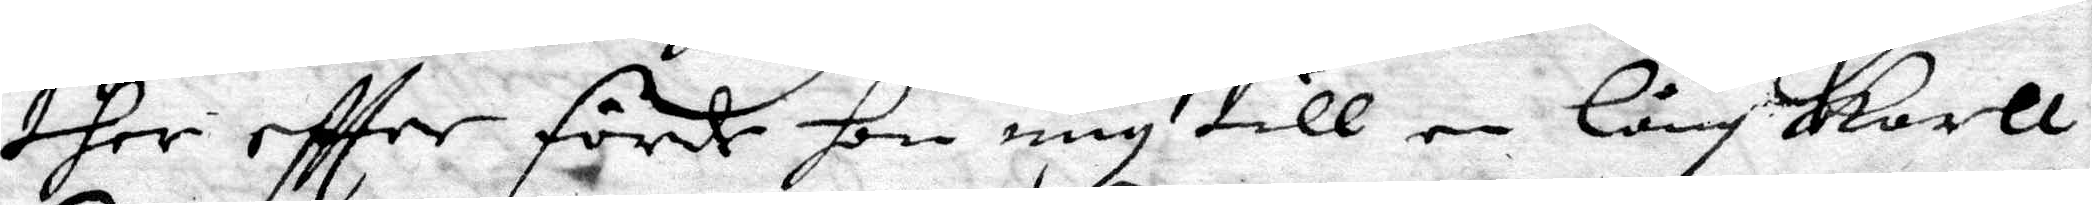ther eftter förde hon mig till en lång karll
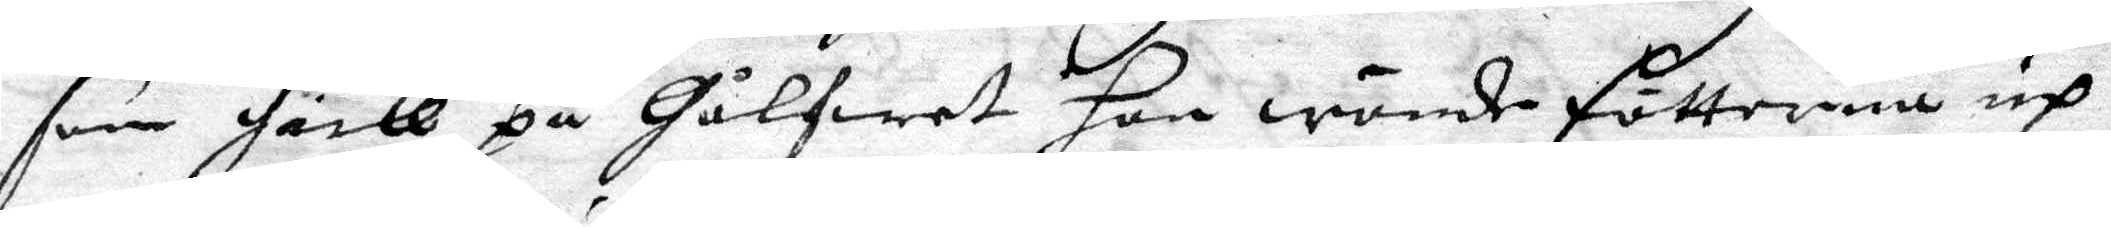som gick på Gålfwet hon wände fötterna up
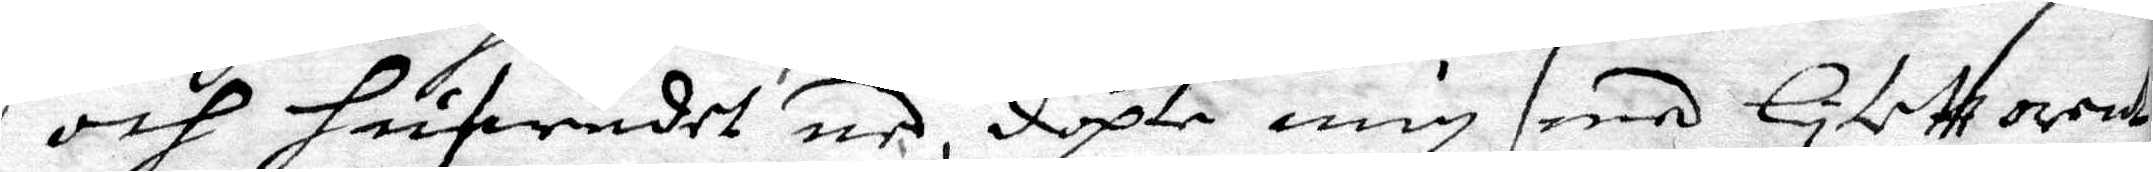och hufwadet ned, döpte mig med Lytett orent
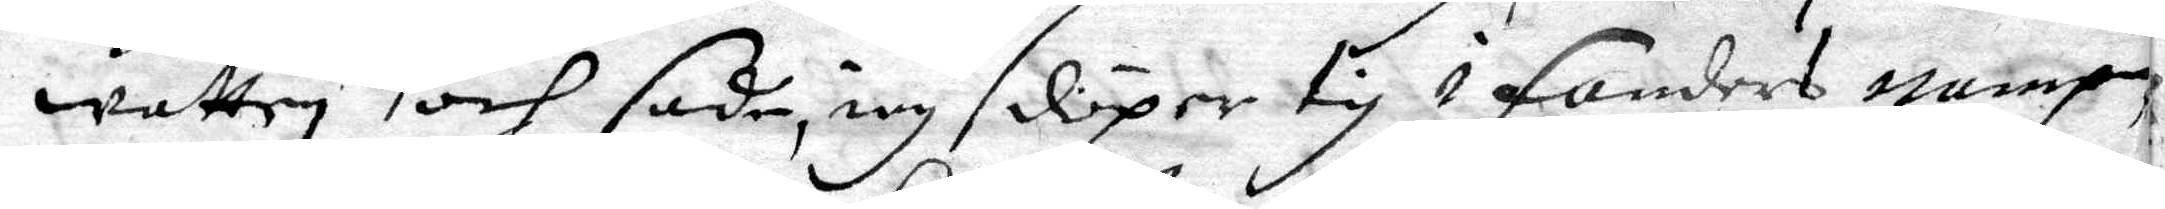watten och sade, iag döper tig i Fanders nampn
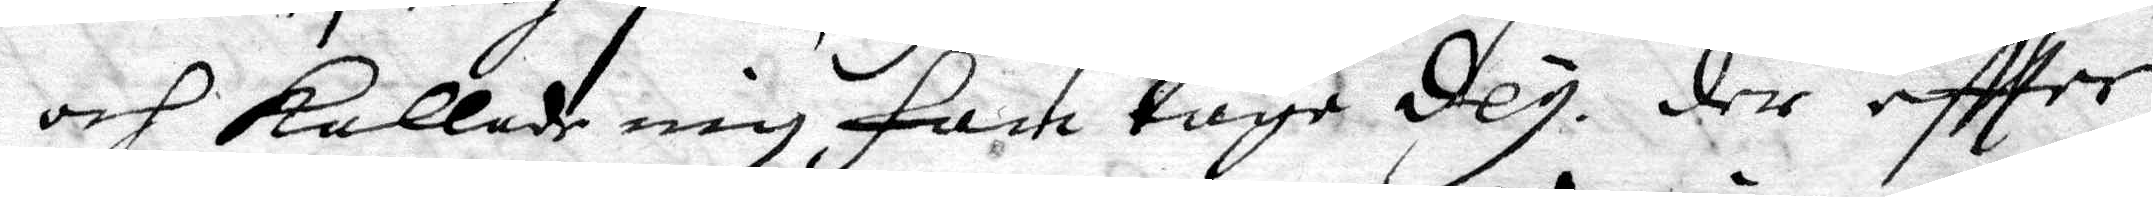och kallade mig fan taga dey. der eftter
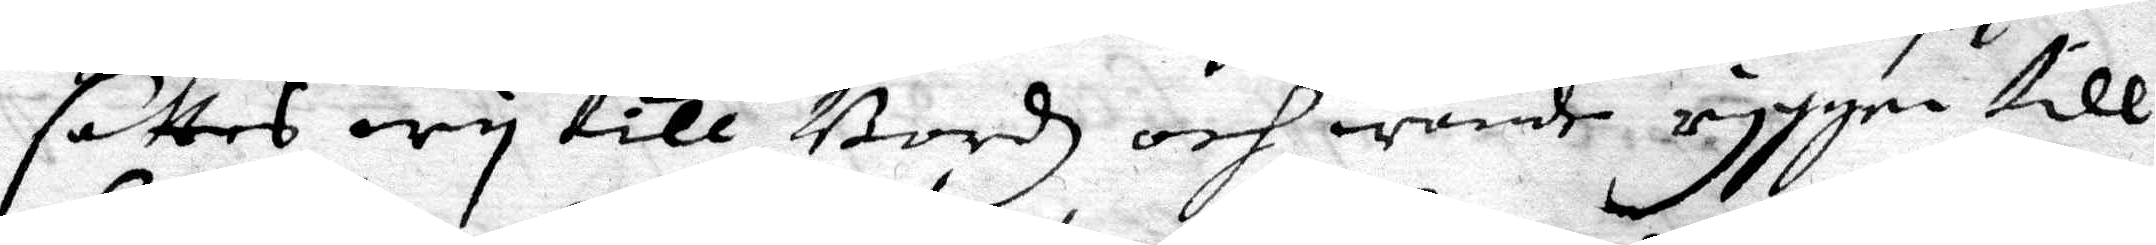sattes wy till Bordz och wände ryggen till
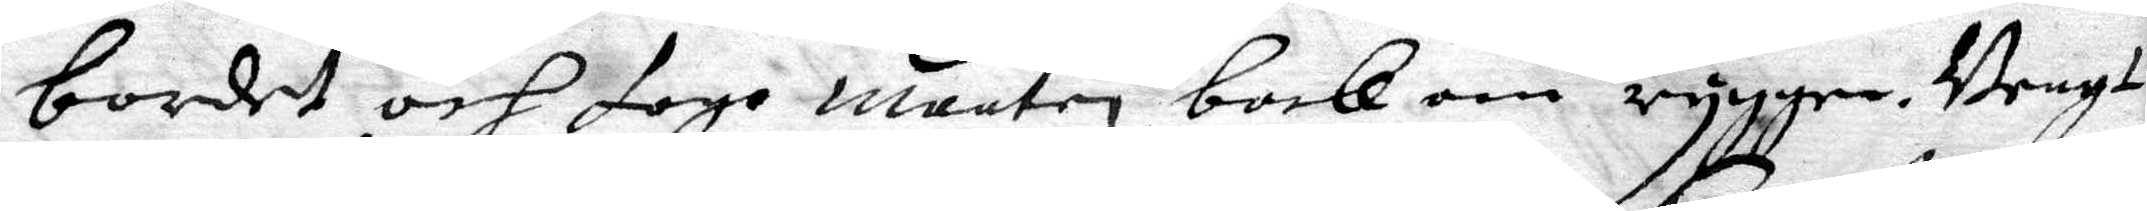bordet och togo maaten back om ryggen. Bengt
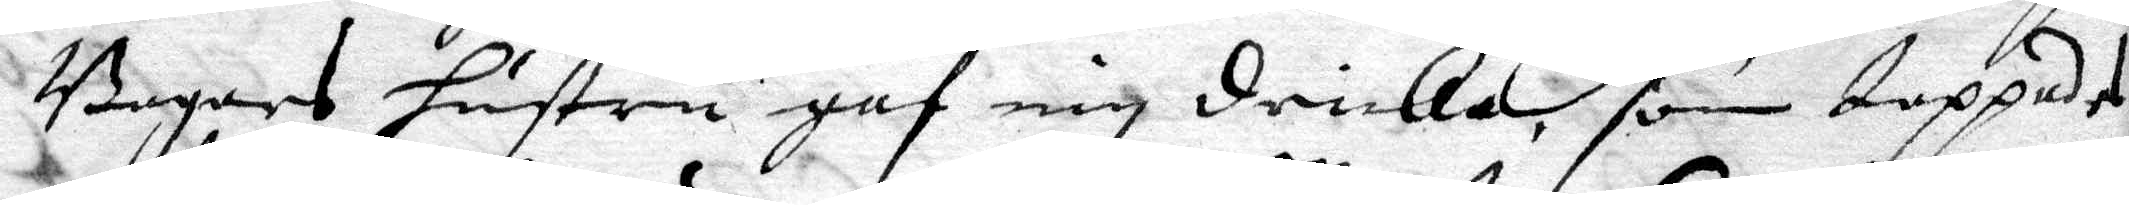Bagars hustru gaf mig dricka, som tappades
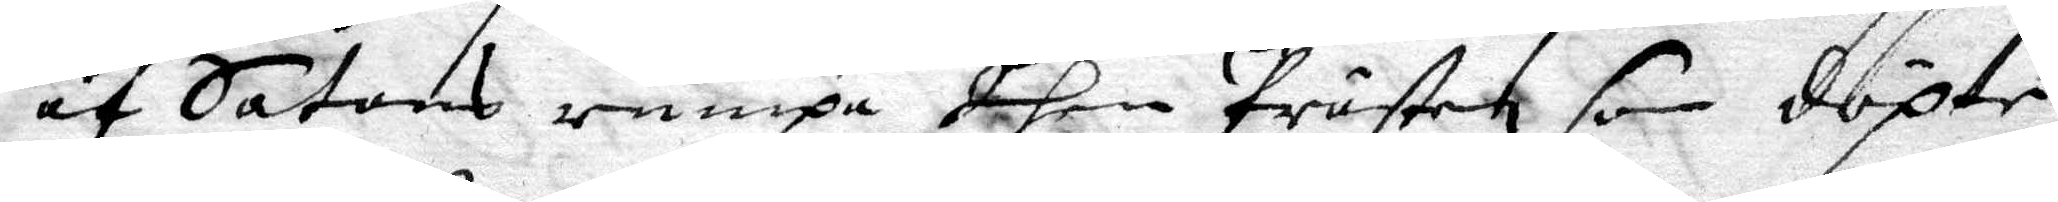af Satans rumpa dhen Prästen som döpte
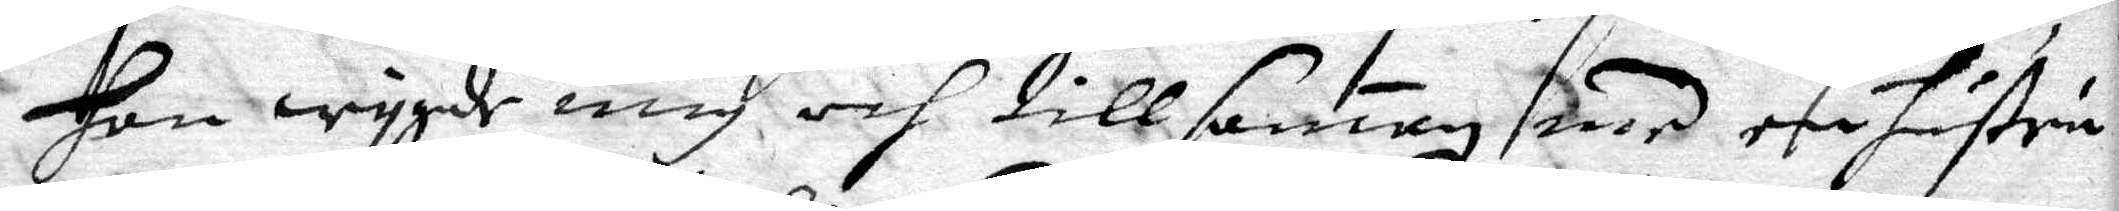Han wygde mig och tillsammen med een hustru
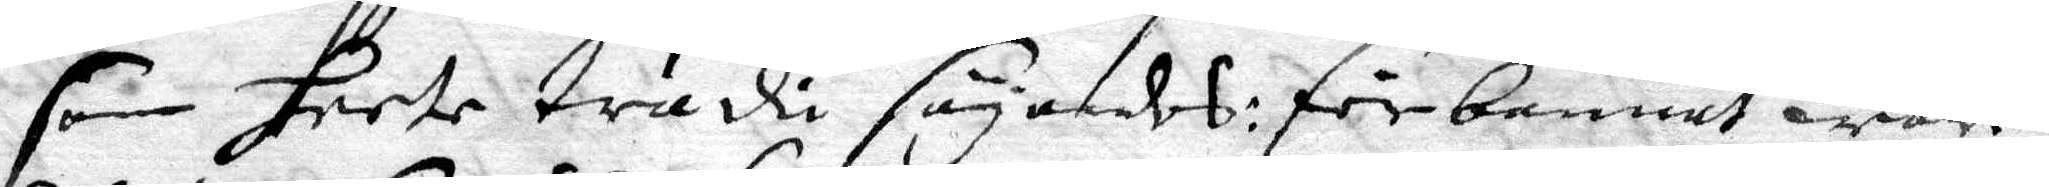som heete trädi sägandes: förbannat ware
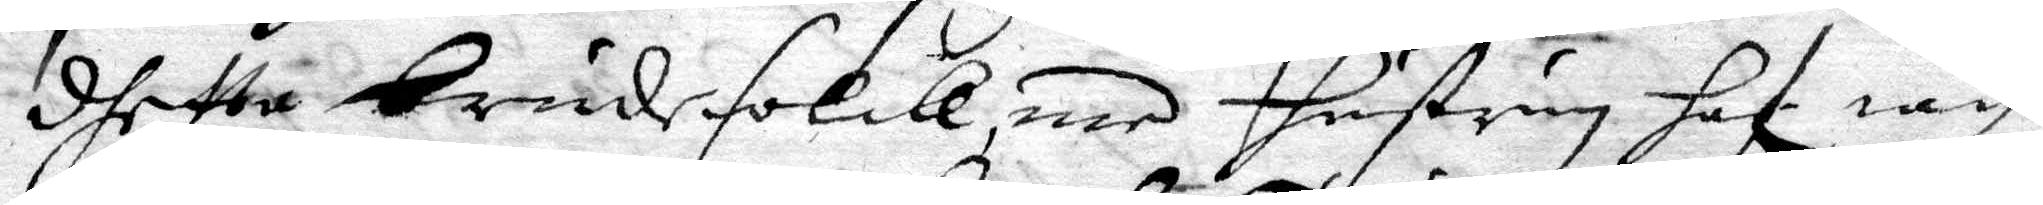dhetta brudefolck, med hustrun haf iag
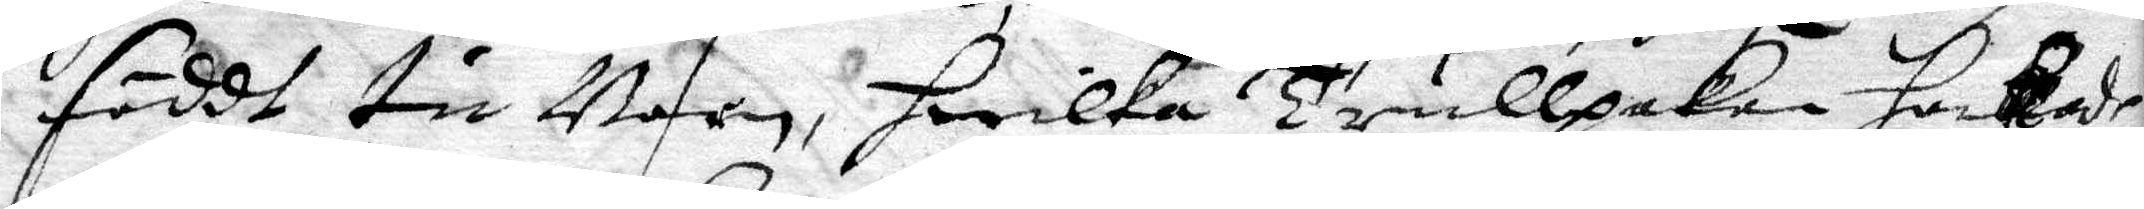föddt tu Barn, hwilka Trullpakor hackade
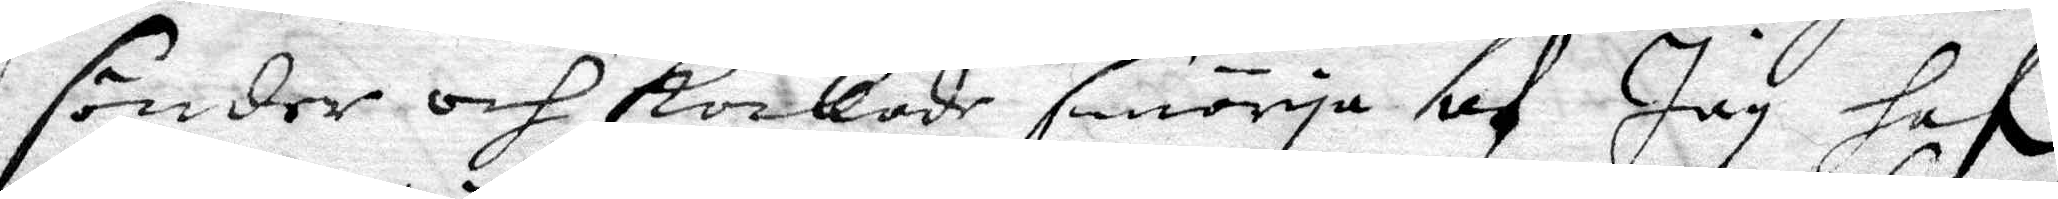sönder och kockade smörja af Jag haf. 
